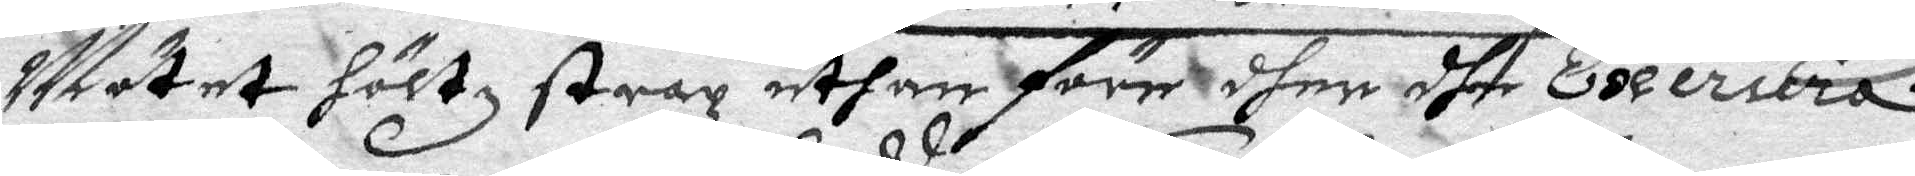Mötet höltz strax uthan före dher dhe exercera
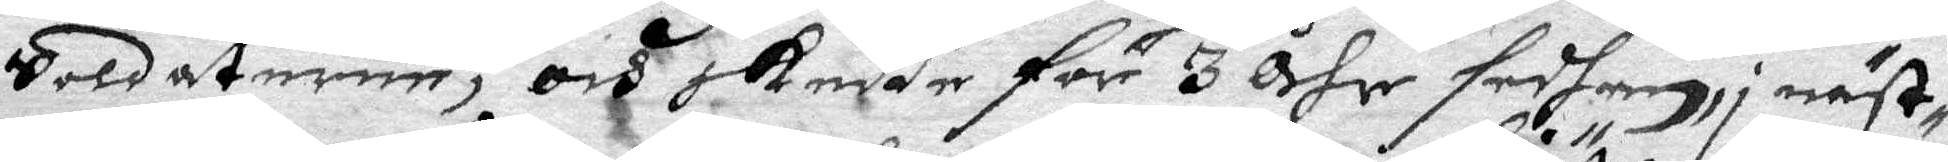Soldaterne, och skedde för 3 åhr sedhan, i näst¬
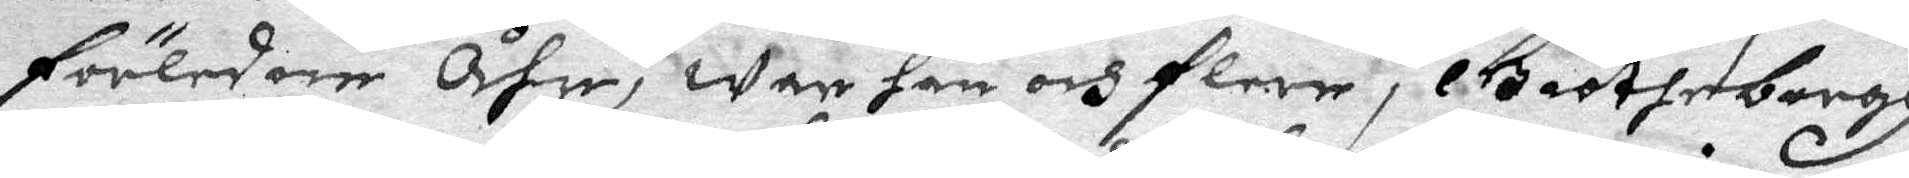förledone Åhr, war han och flere i Giötheborgh
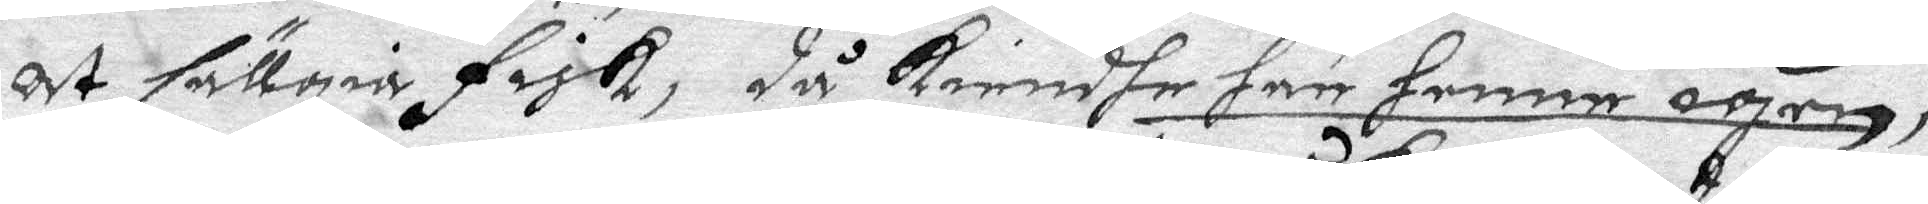At sällgia fisk, då kiendhe han henne igen,
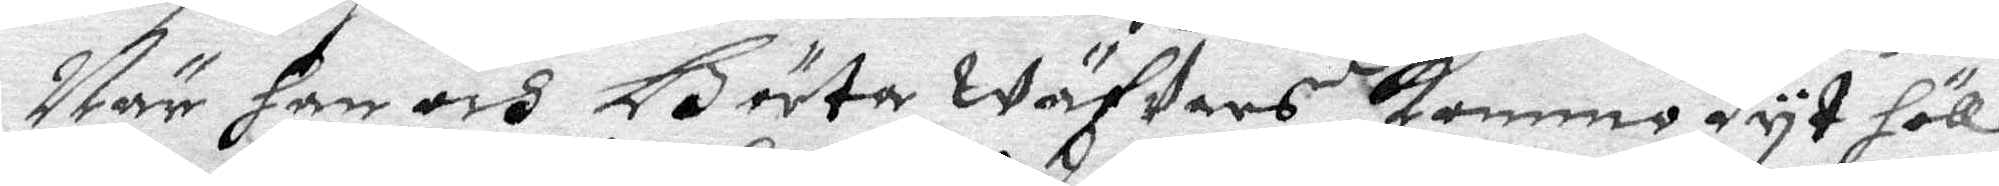När han och Börta Wäfars kommo dyt höllo
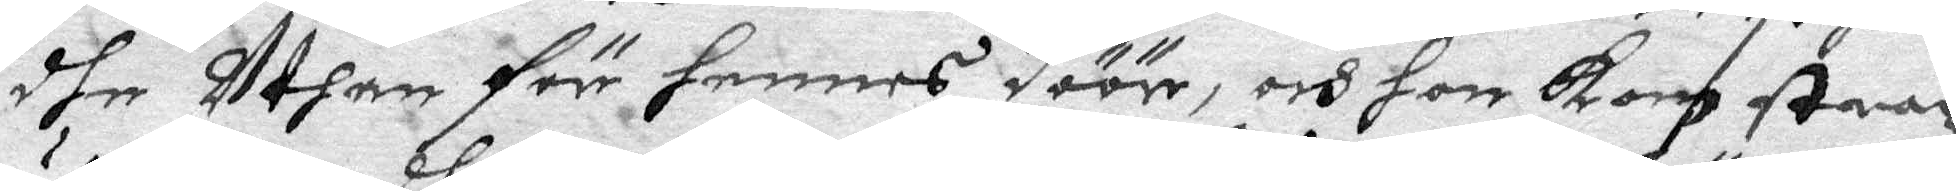dhe Uthan för hennes döör, och hon kon strax
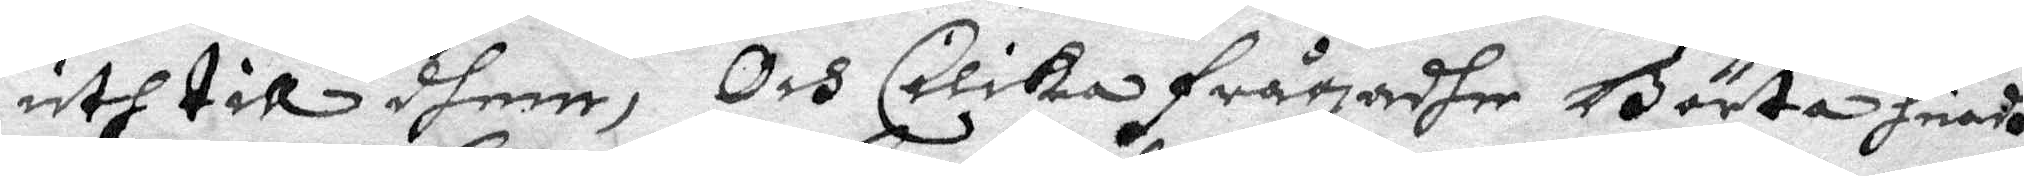uth till dhem, Och Cilika frågadhe Börta huadh
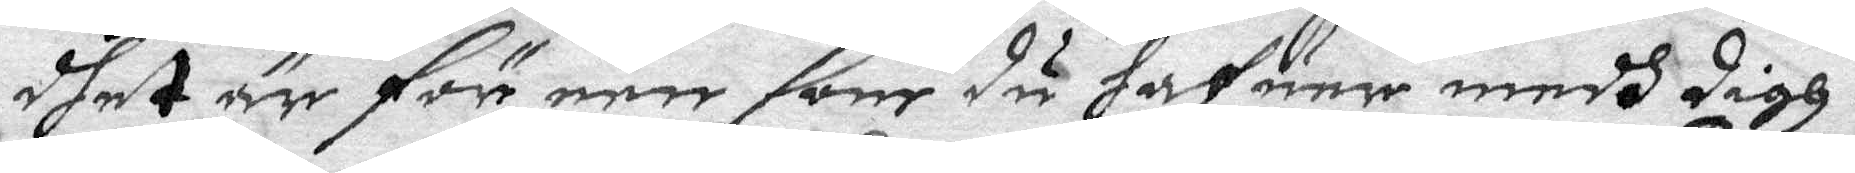dhet är för een som du hafuer medh digh.
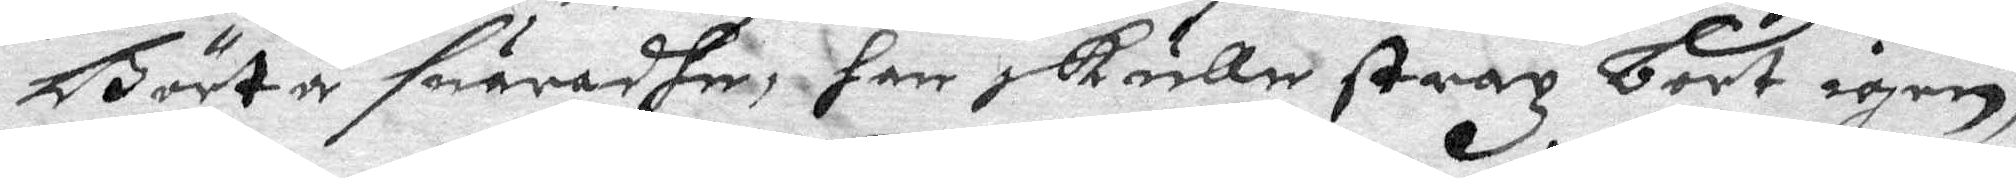Börto suaradhe, han skulle strax bort igen,
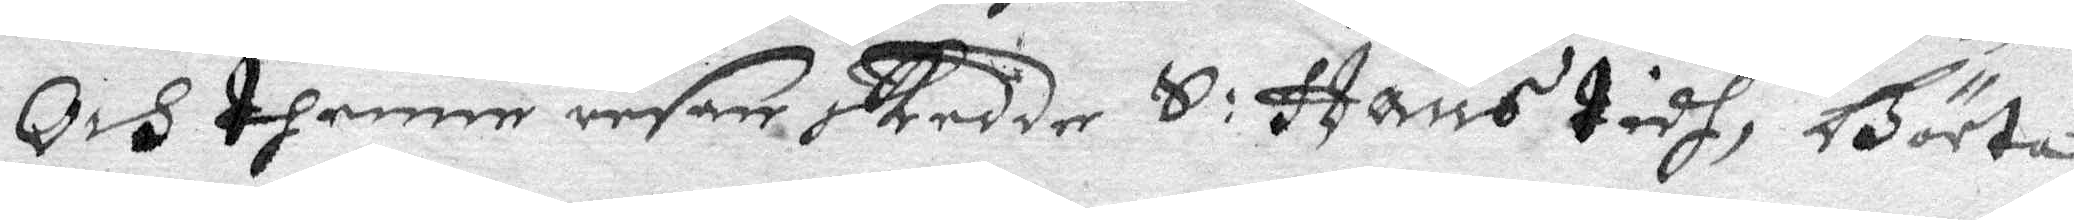Och thenne resan skedde S: Hans tydh, Börta 
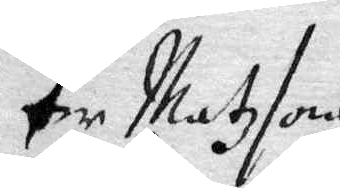Per Matzsons
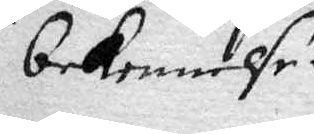bekennelse.
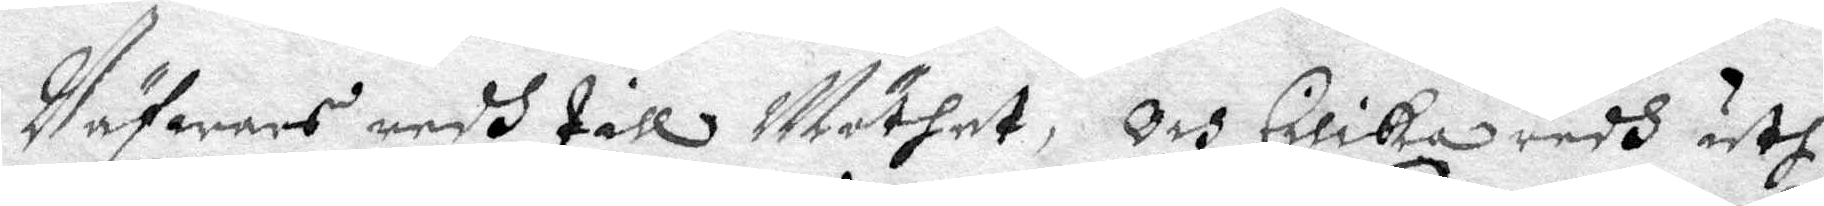Väfares medh till Möthet, Och Cilika redh uth
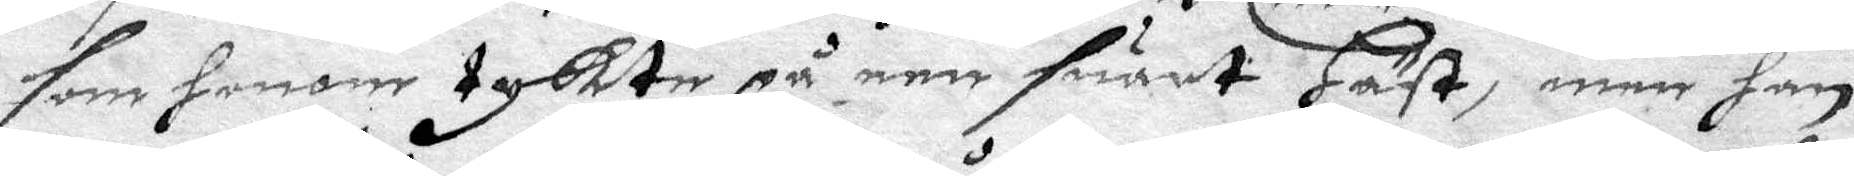som honom tyckte på een suart Häst, men han
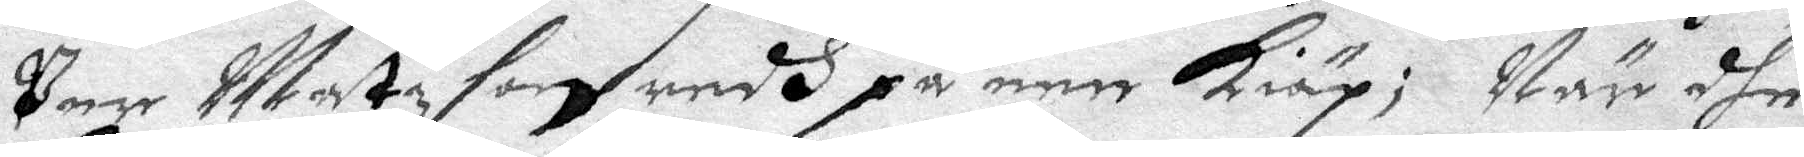Per Matzson redh på een kiäp; När dhe
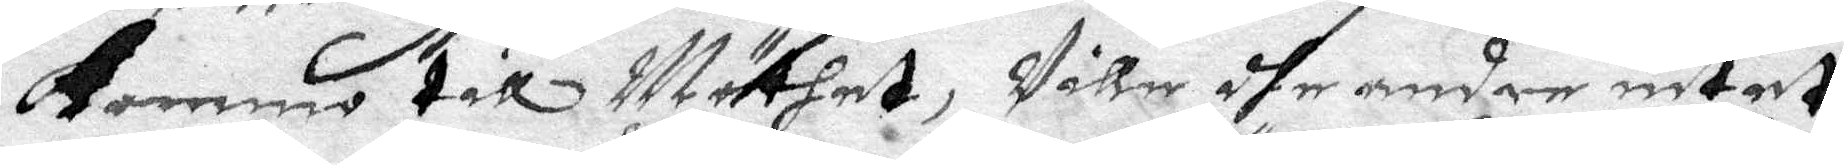kommo till Möthet, Ville dhe andre intet
